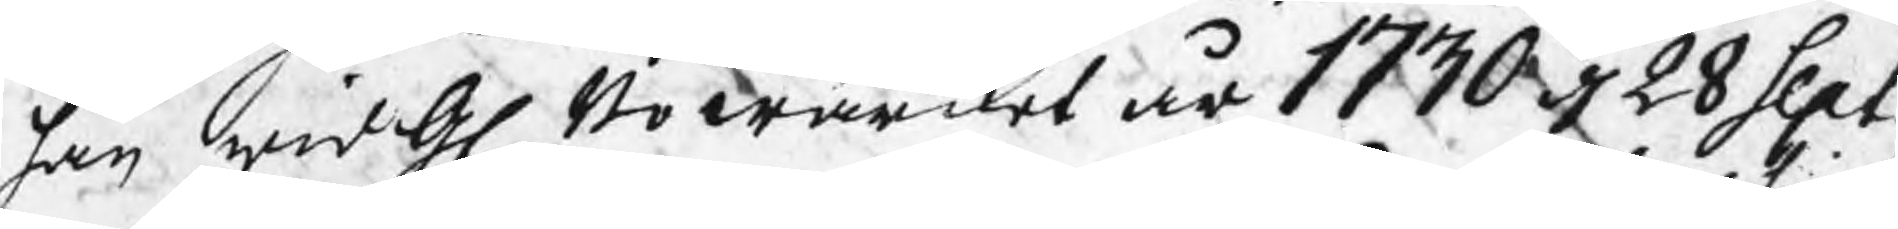han wid Gl Bowärket år 1730 d 28 Sept
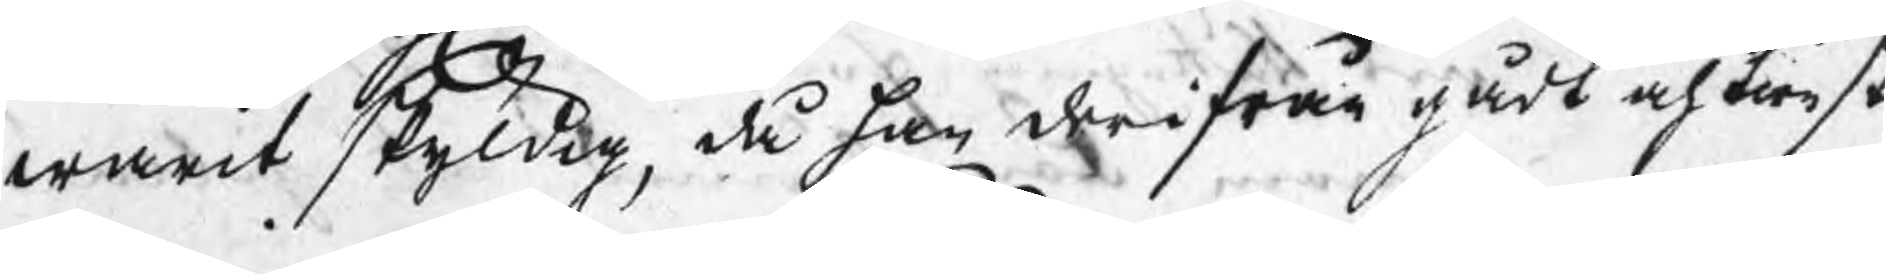warit skyldig, då han derifrån gådt och tienst
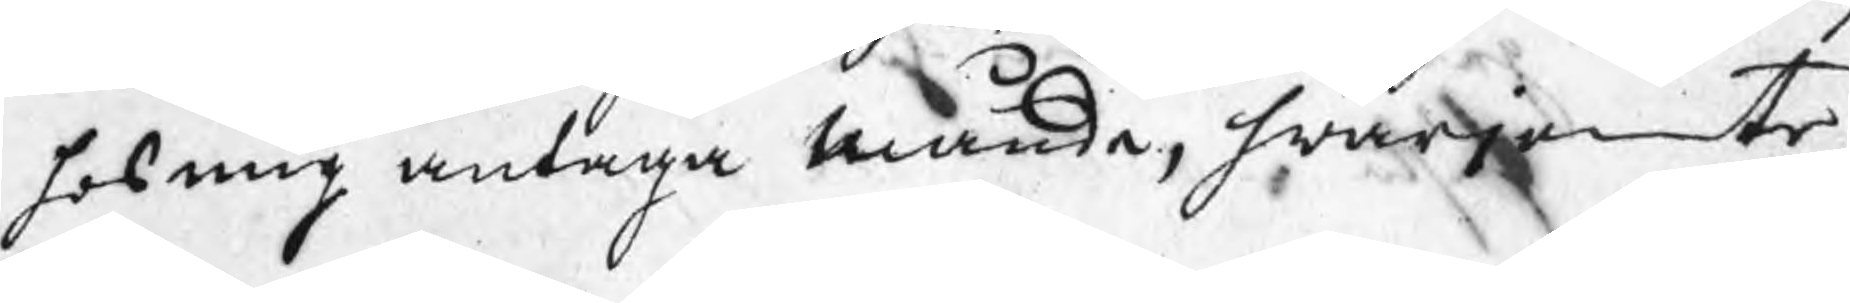hos mig antaga månde, hwarjemte
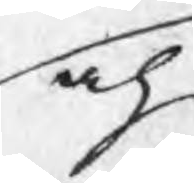och
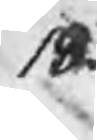18.
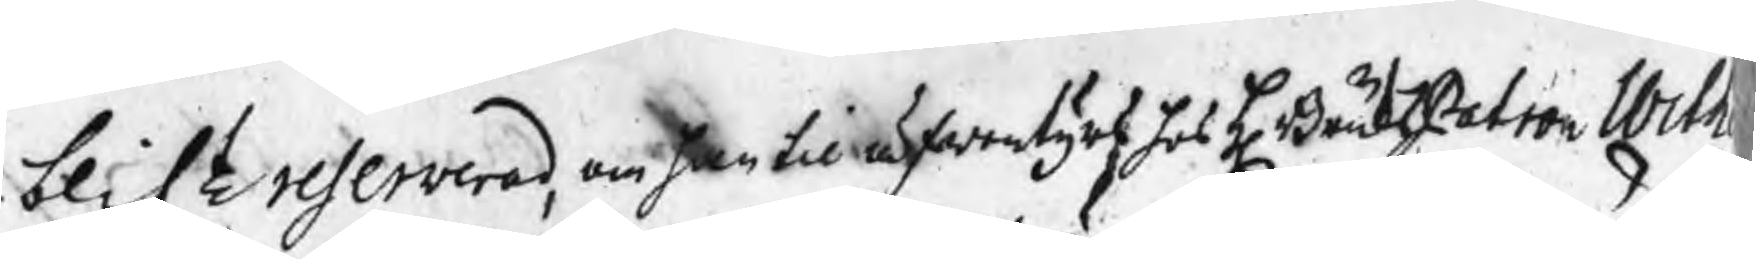och blift reserverad, om han til äfwentyrs hos H BruksPatron Wilh
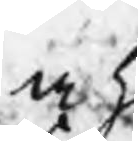w h 
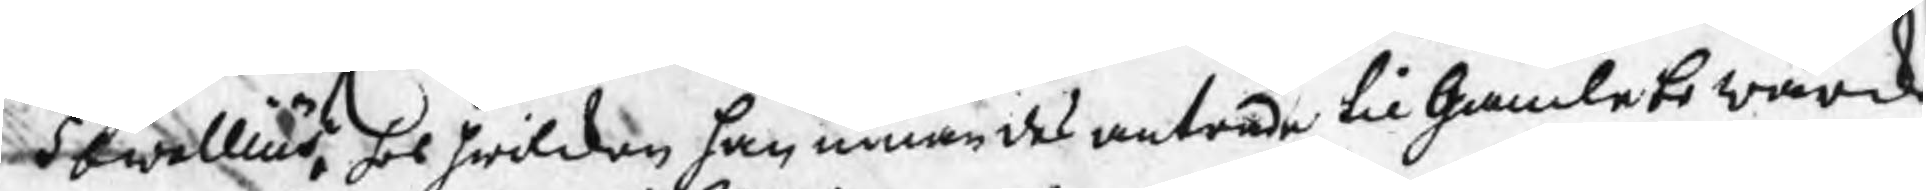Sewallius, hos hwilken han innan des anträde til Gamlebo wärck
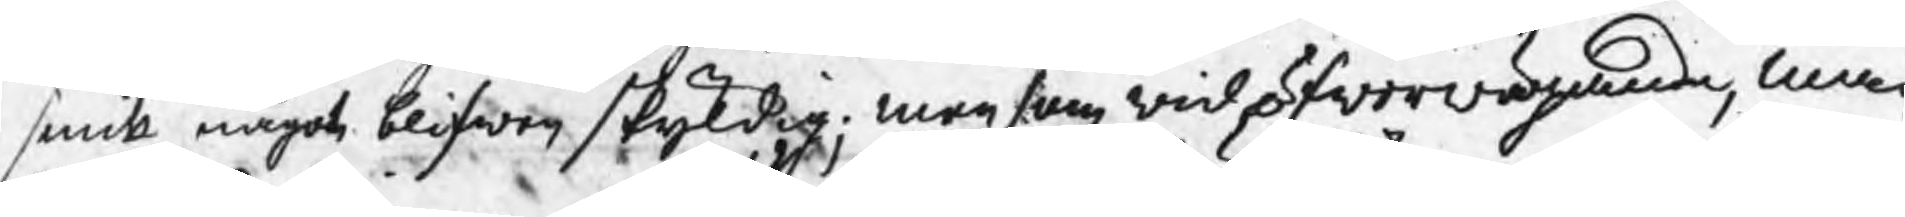smitt något blifwen skyldig; men som wid öfwerwägande, man
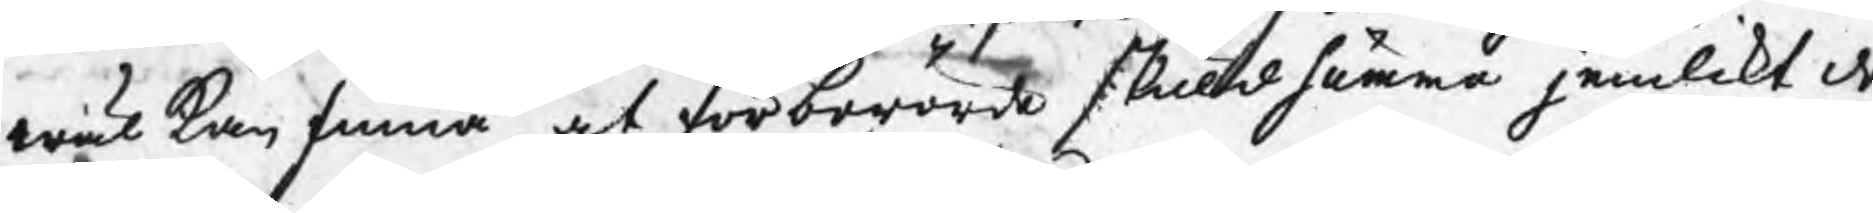wäl kan finna, at förberörde skuldsumma jemlikt de
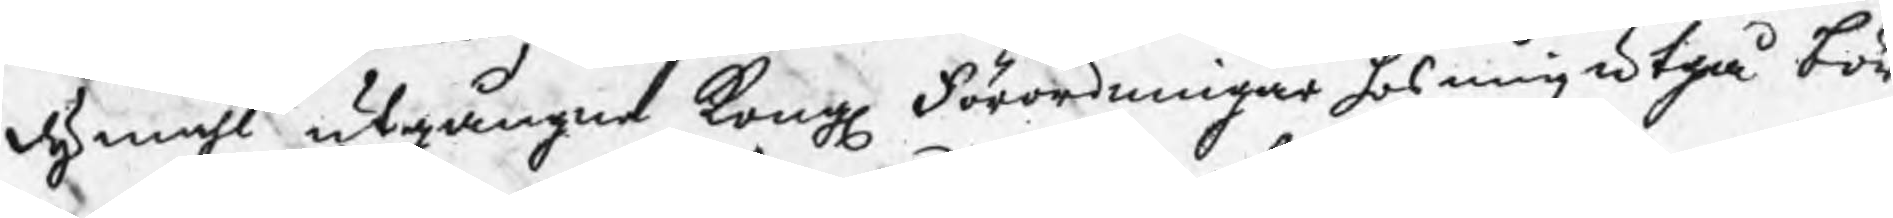dymåhl utgångne Kongl Förordningar hos mig utgå bör,
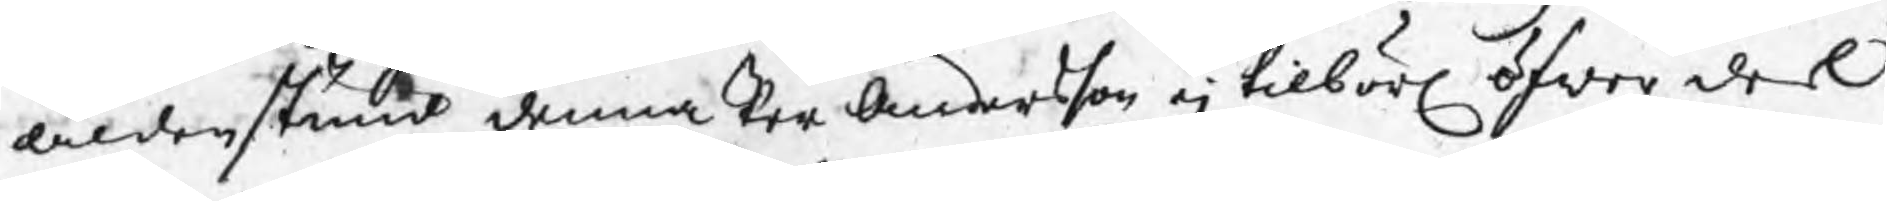aldenstund denna Per Andersson ej tilbörl öfwer dess
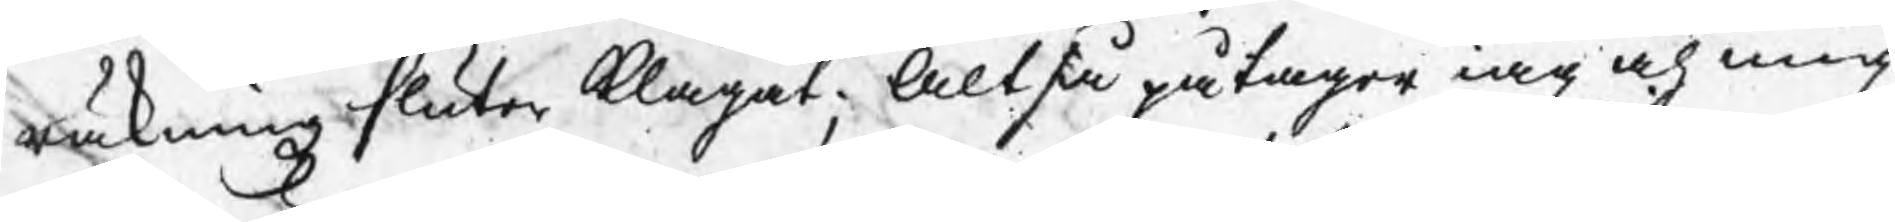räkningzsluter klagat; Altså påtager iag och mig
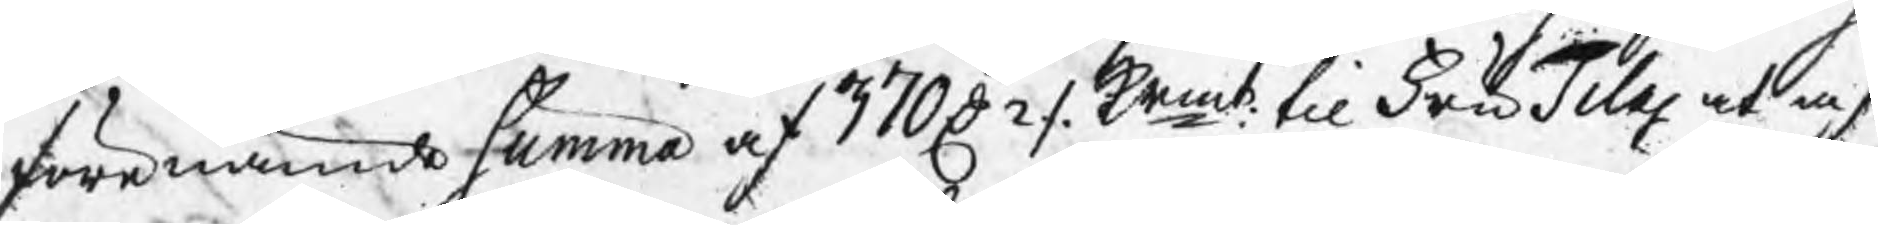förenämde summa af 370 D 2 / krmt til Fru Tilas at af¬
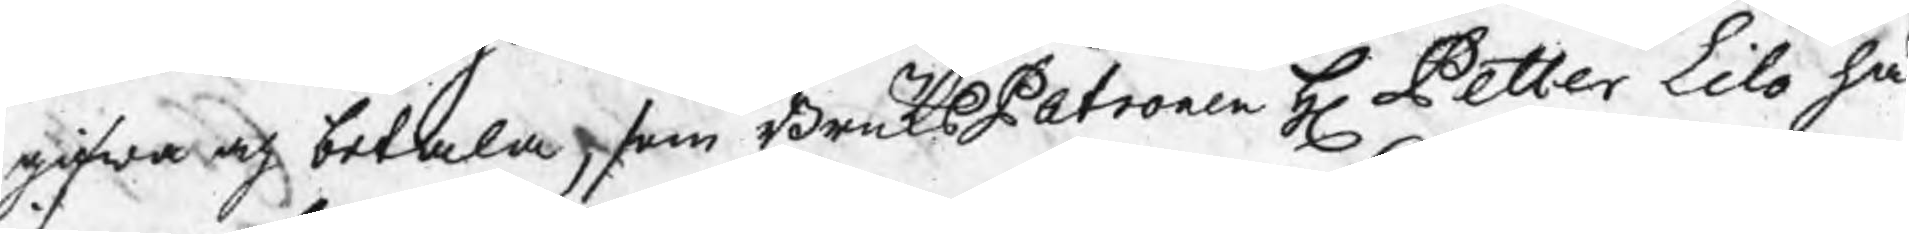gifwa och betala, som BruksPatronen H Petter Lilo hä
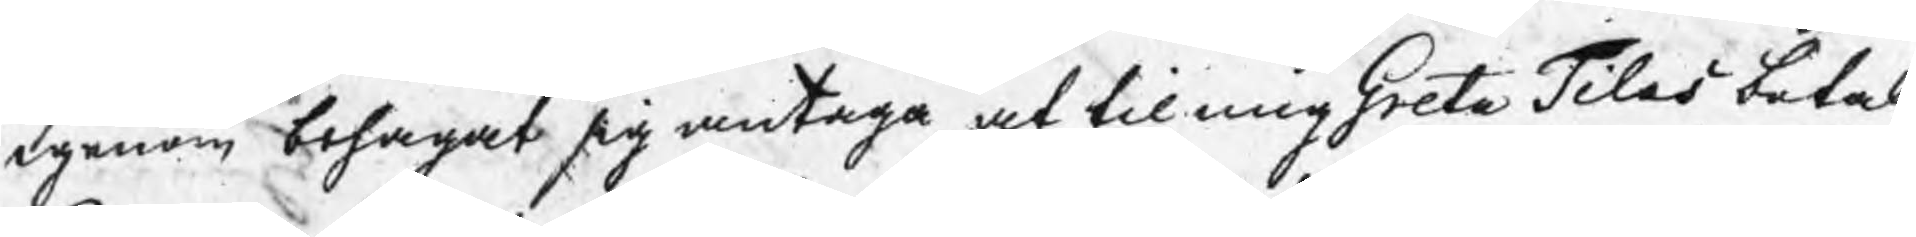igenom behagat sig antaga at til mig Greta Tilas betal
